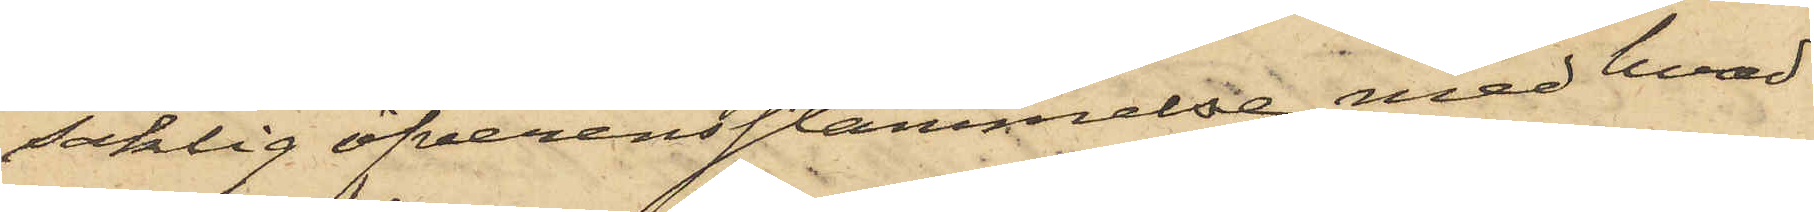saklig öfverensstämmelse med hvad
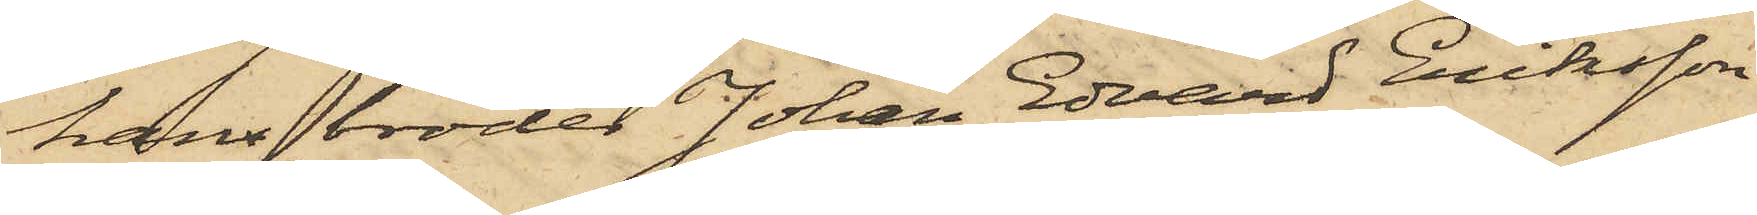hans broder Johan Edvard Eriksson
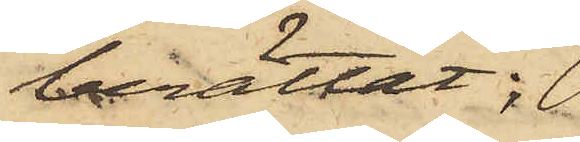berättat;
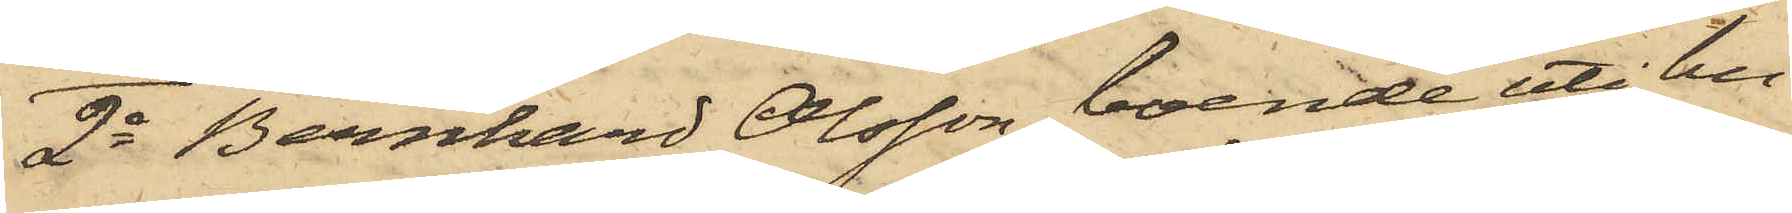2o Bernhard Olsson, boende uti hu¬
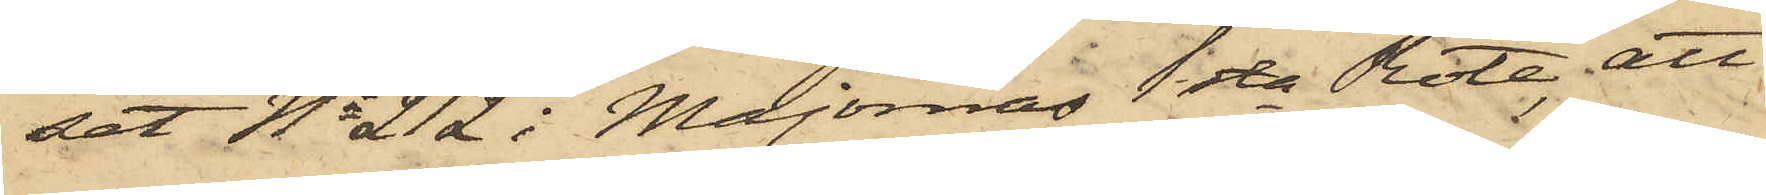set No 212 i Majornas 1sta Rote, att
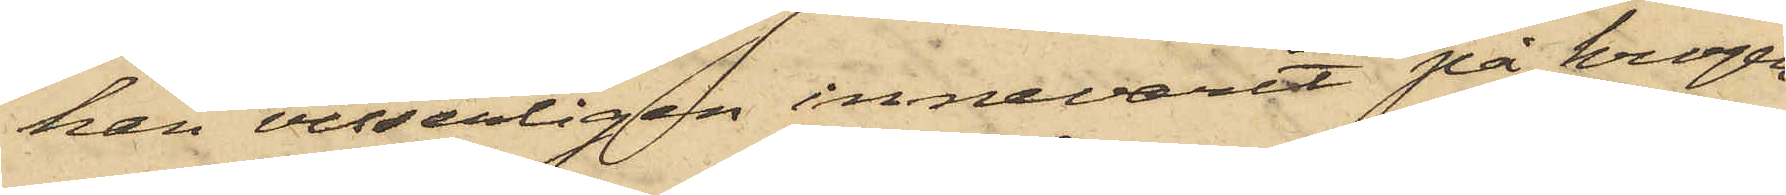han visserligen innevarit på krogen
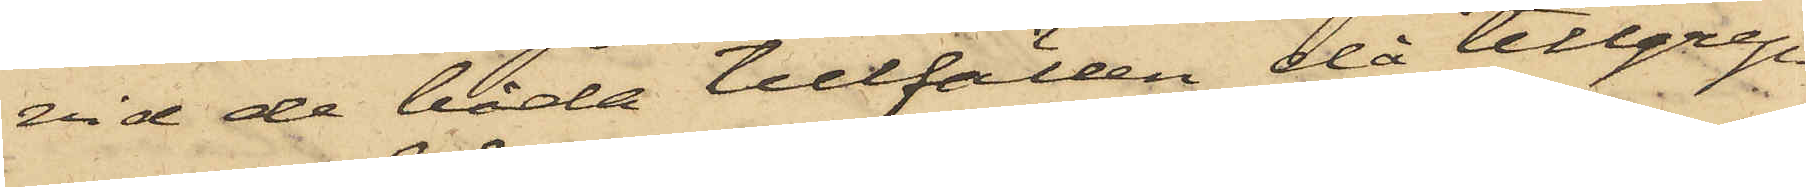vid de båda tillfällen då tillgrep¬
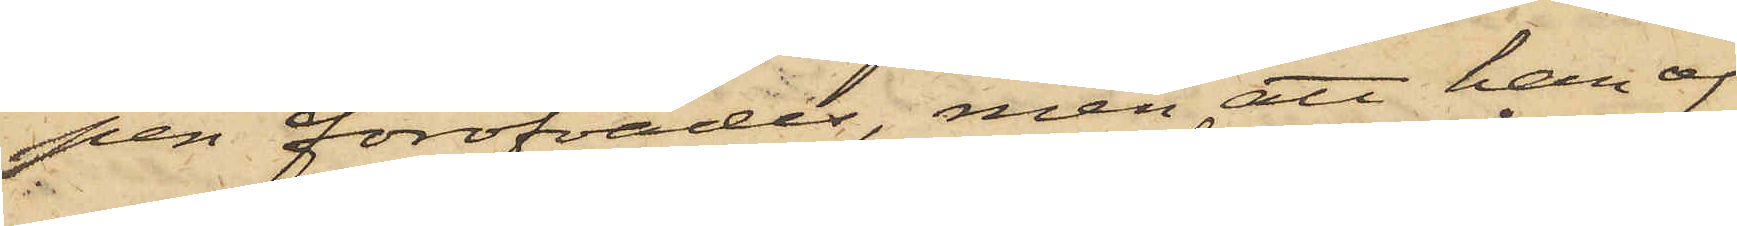pen föröfvades, men att han af
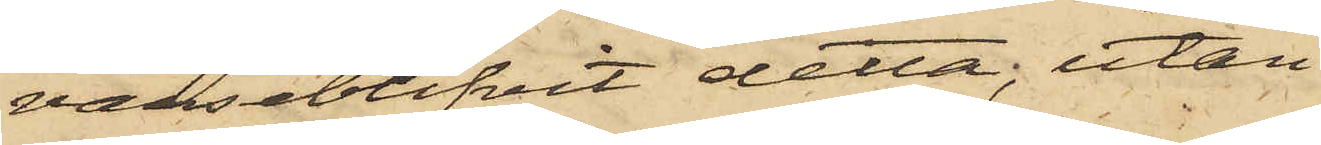varseblifvit detta; utan
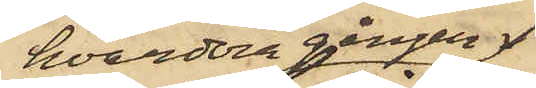hvardera gången
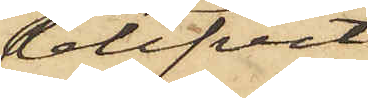blifvit
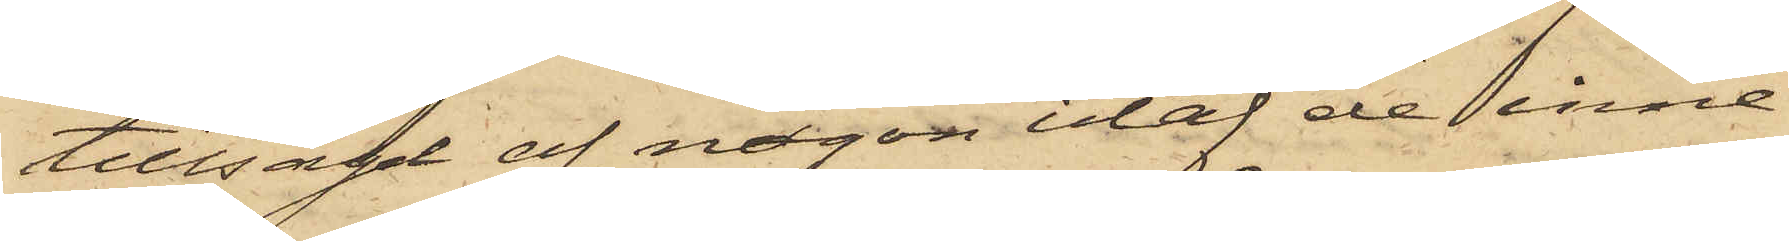tillsagd af någon utaf de inne¬
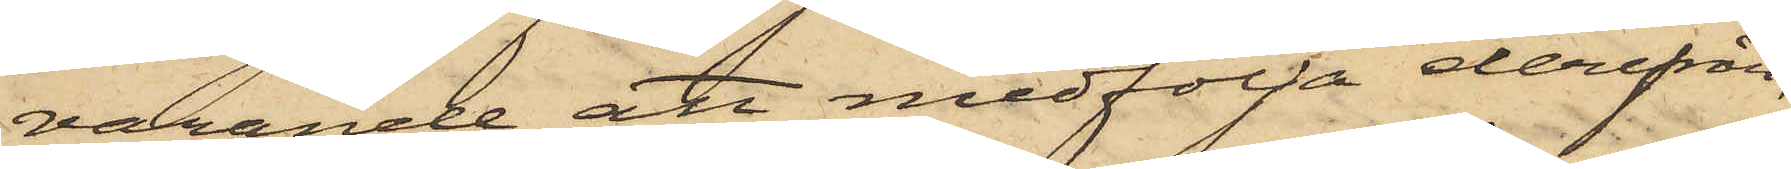varande att medfölja derifrån,
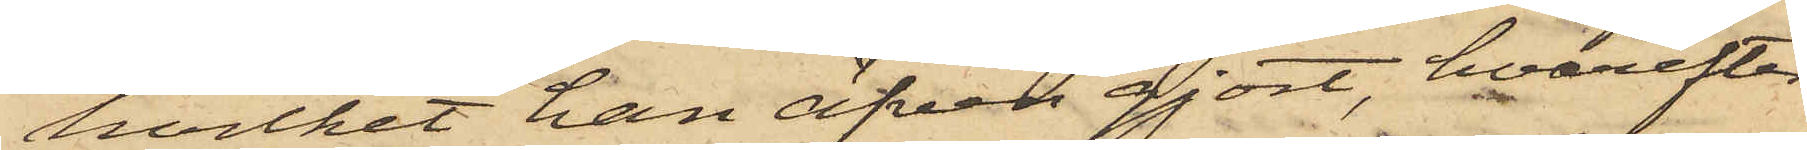hvilket han äfven gjort, hvarefter
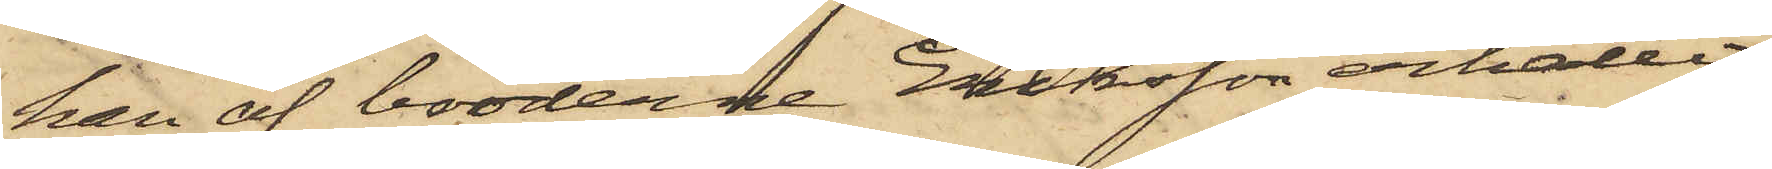han af bröderne Eriksson erhållit
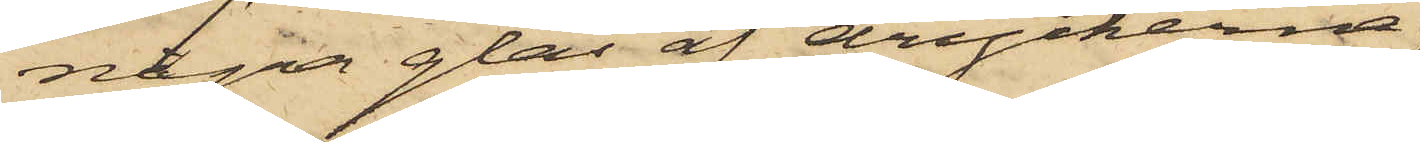några glas af dryckerna;
